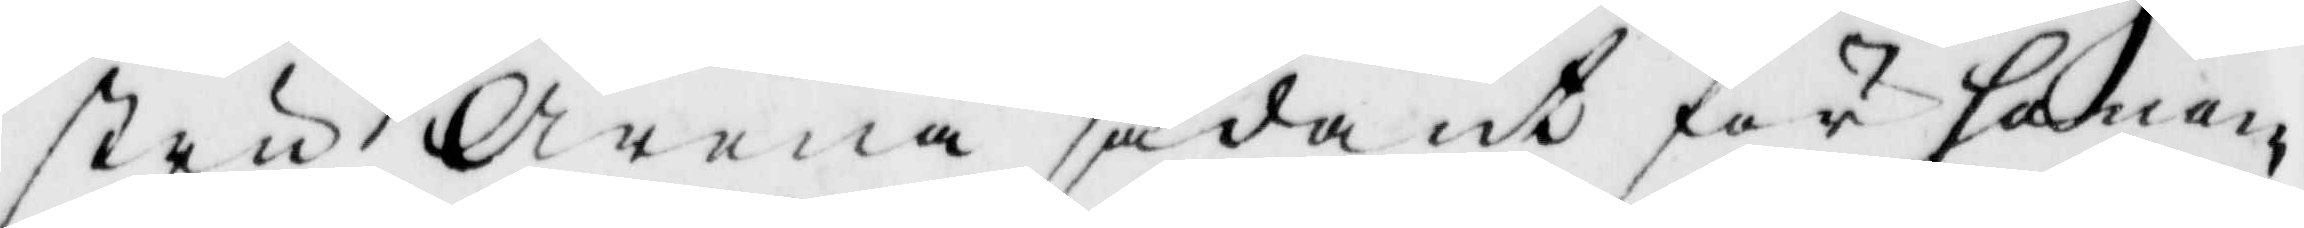stru Arena sådant för honom
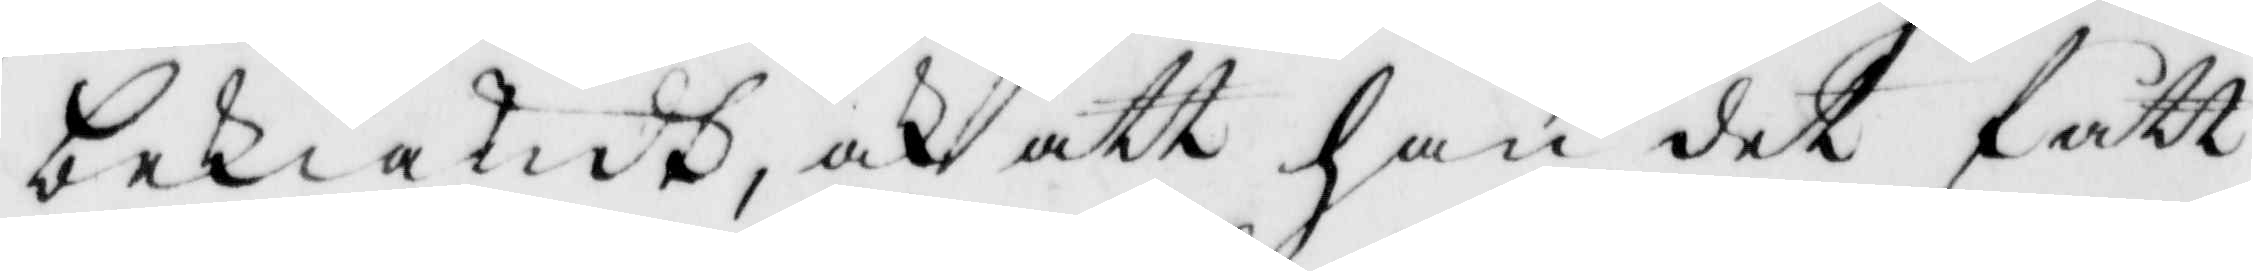bekiendt, och att han det fått
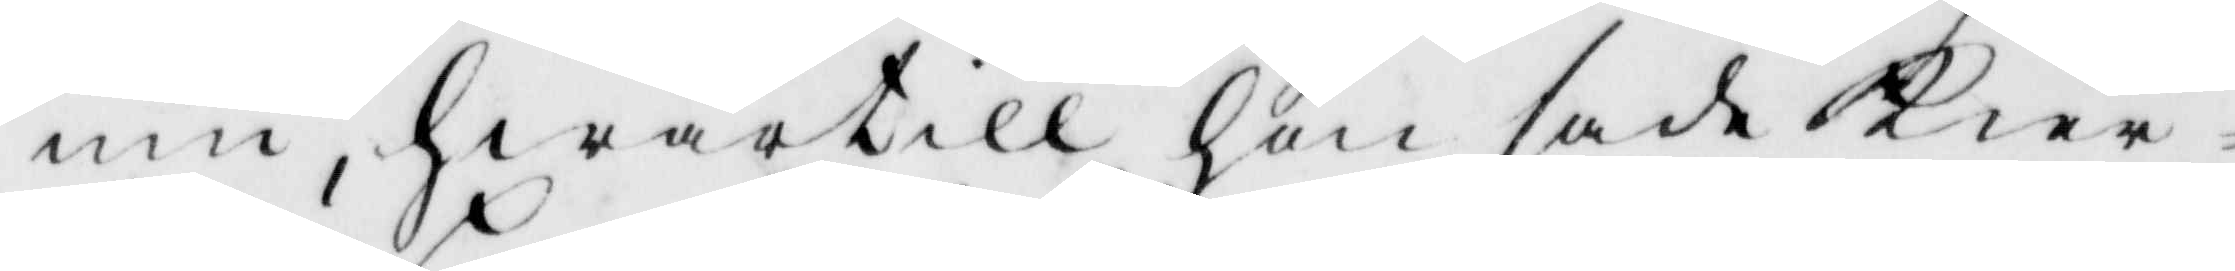inn, hwartill han sade Kier¬
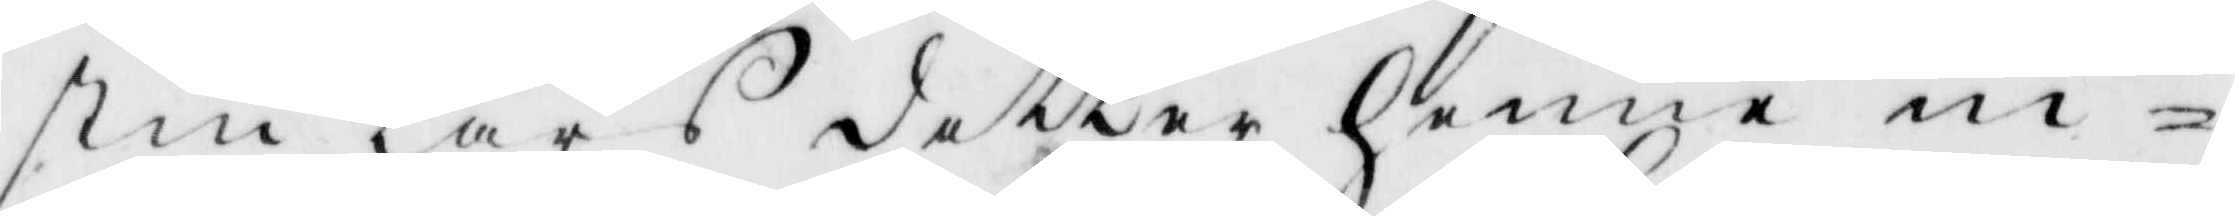stin Lars dotter henn in¬
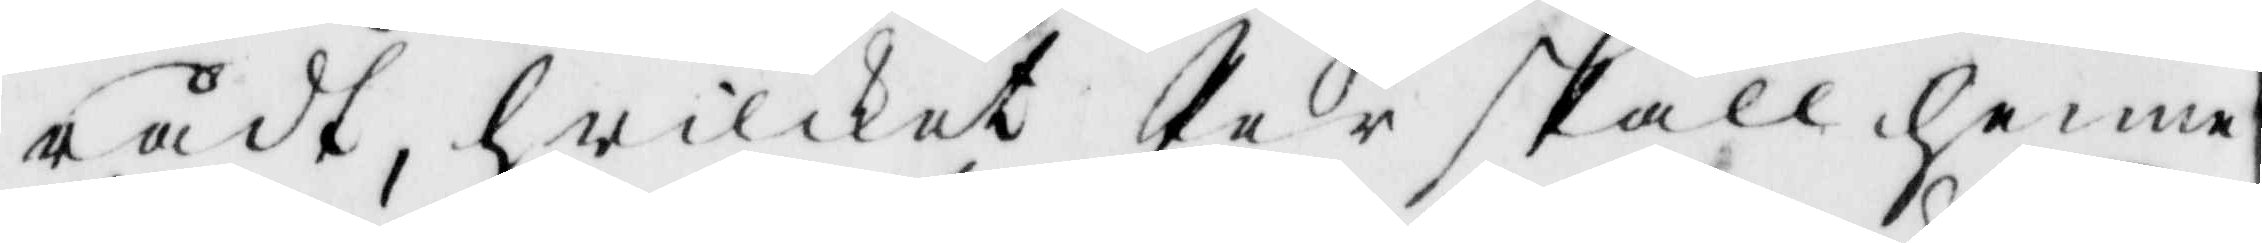rådt, hwilket Per skall henne
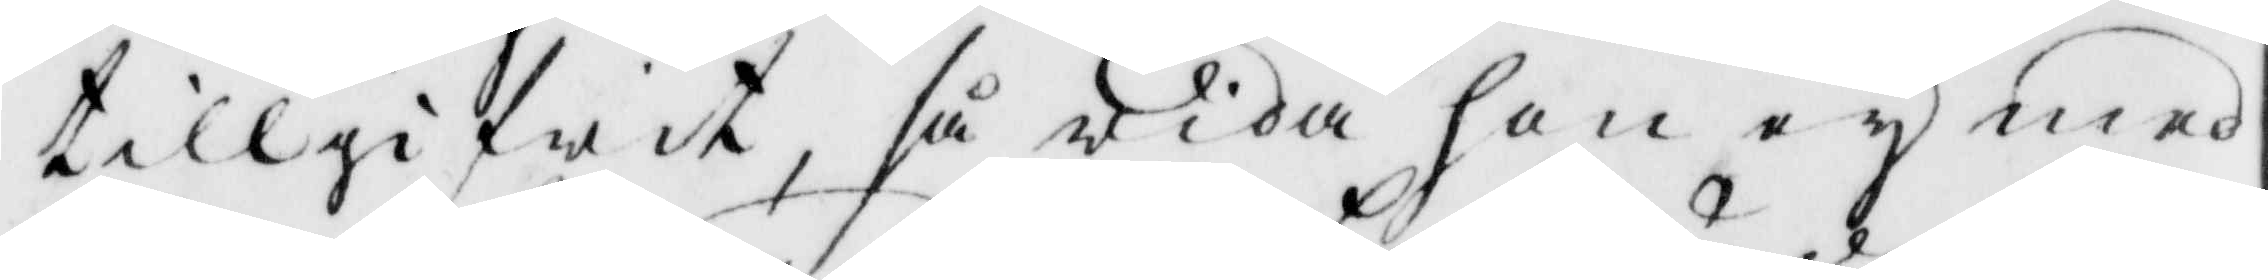tillgifwit, så wida hon ey med
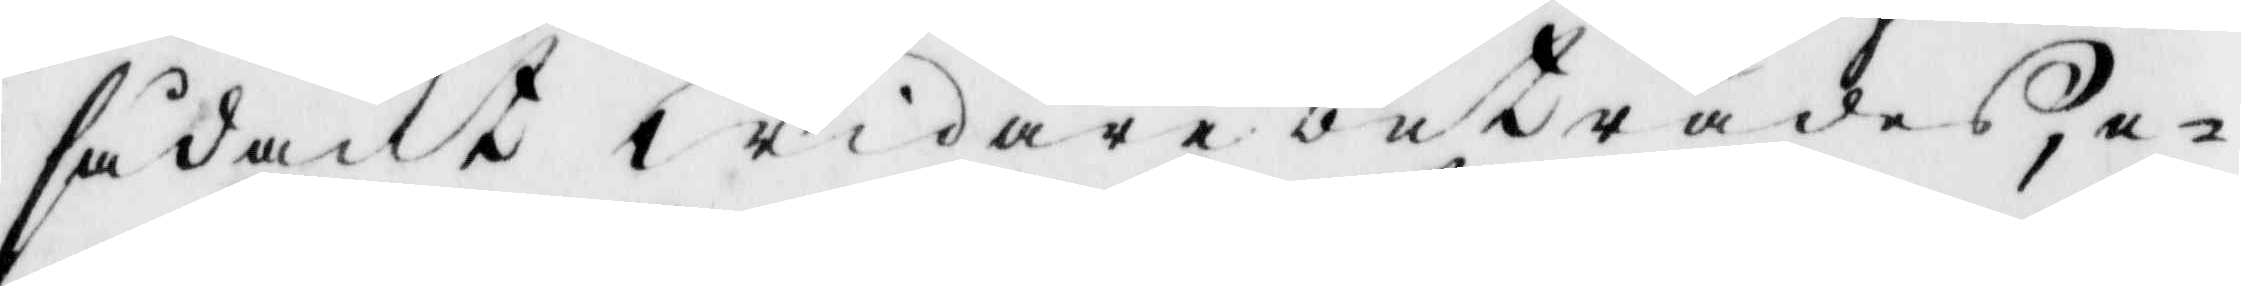sådant widare beträdes, e¬
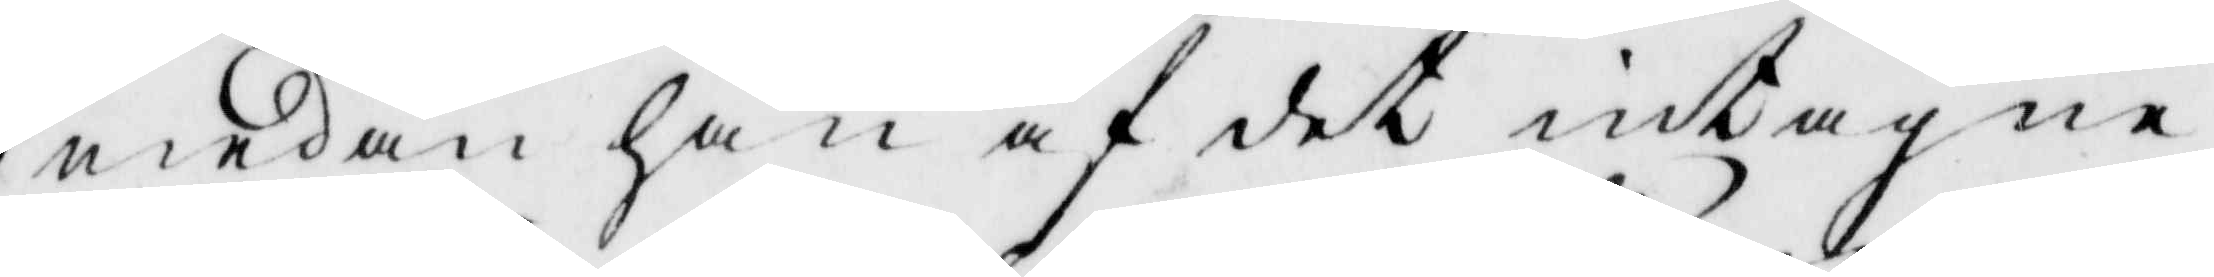medan an af det intagna
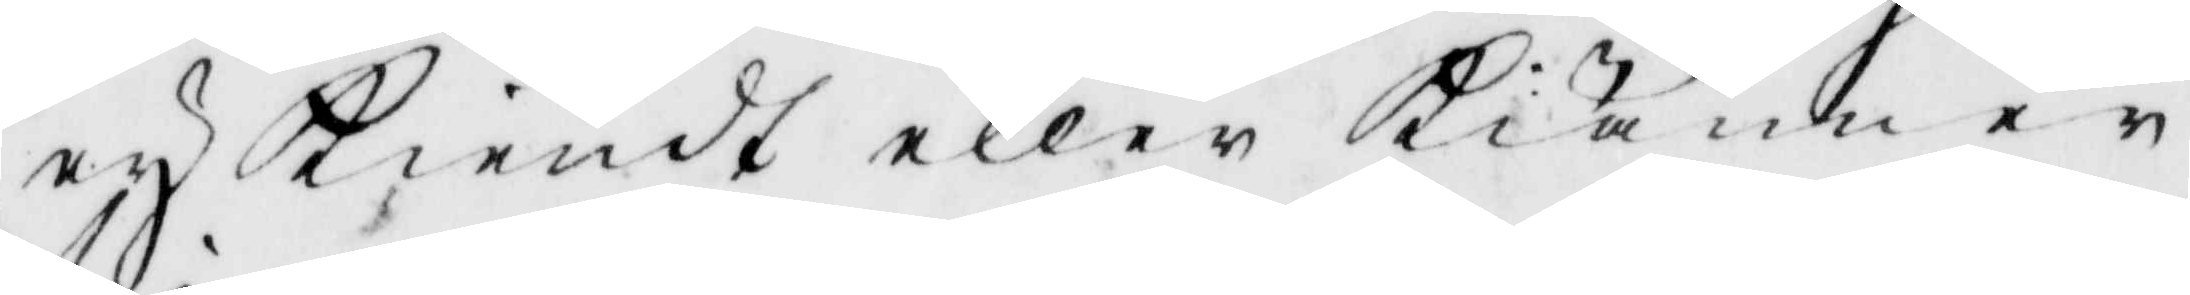ey kiendt eller kiänner
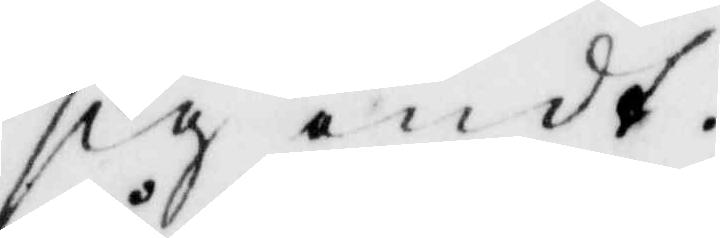sig ondt.
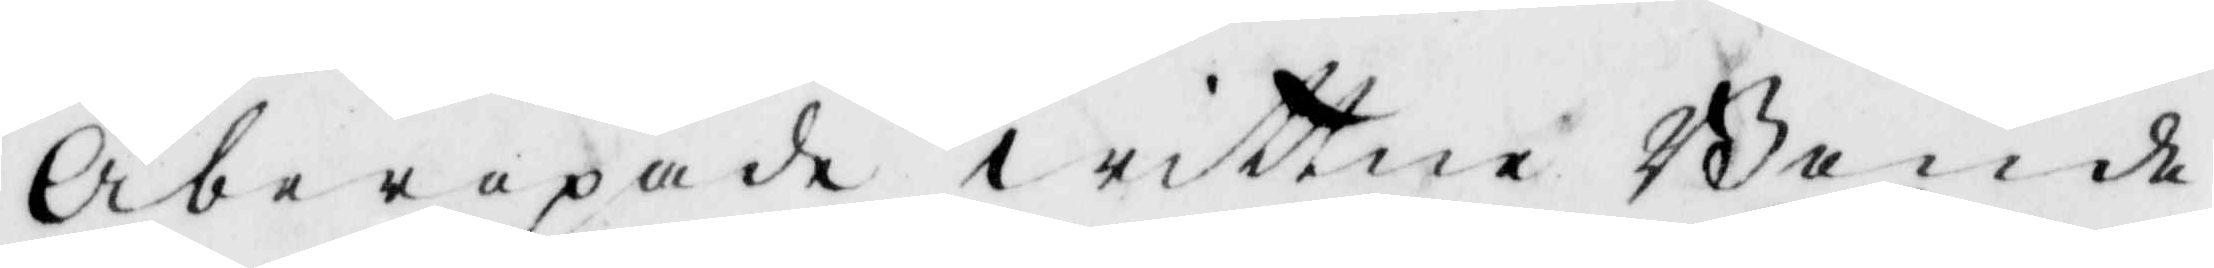Åberopade wittne Bonde
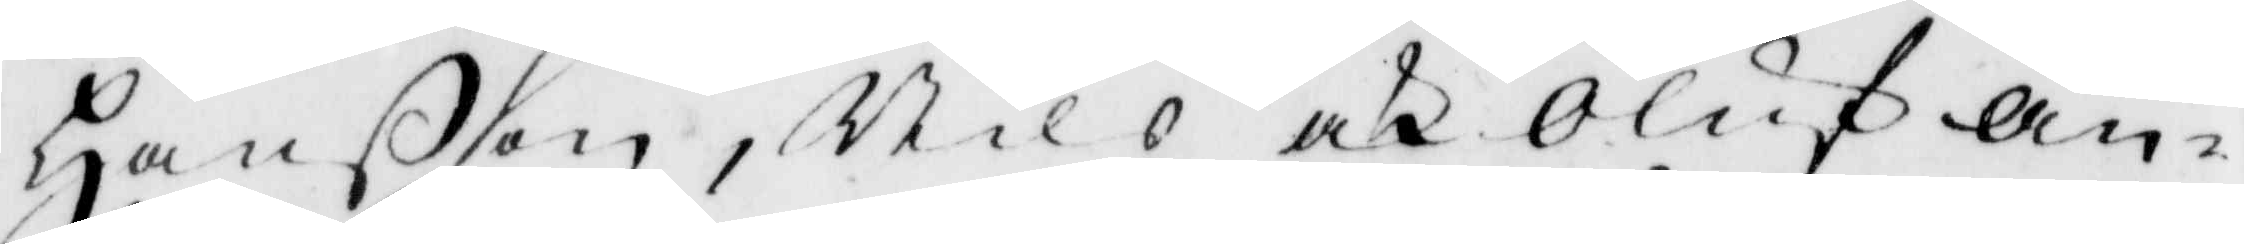Hanßon, Nils och Oluf An¬
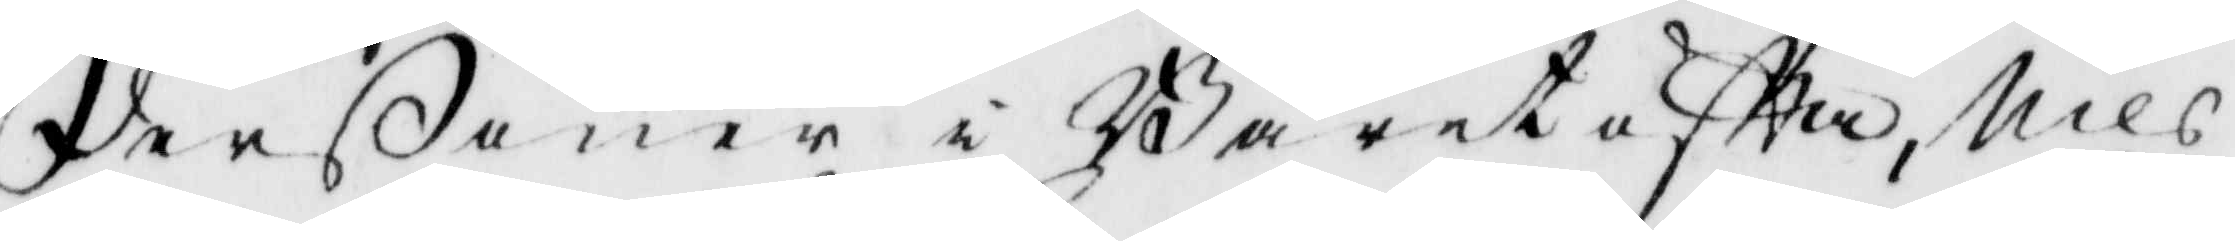derßöner i Bäretofta, Nils
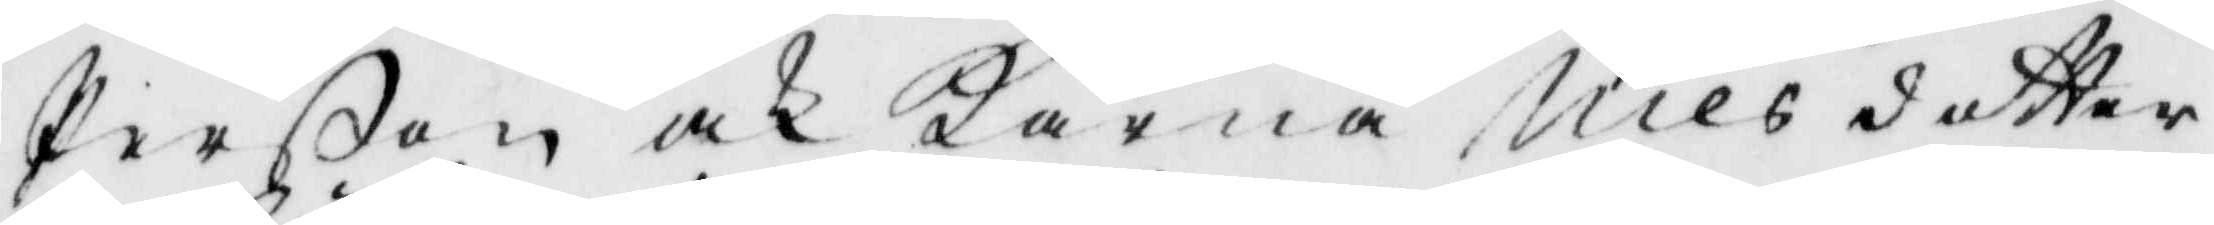Perßon, och Karna Nilsdotter
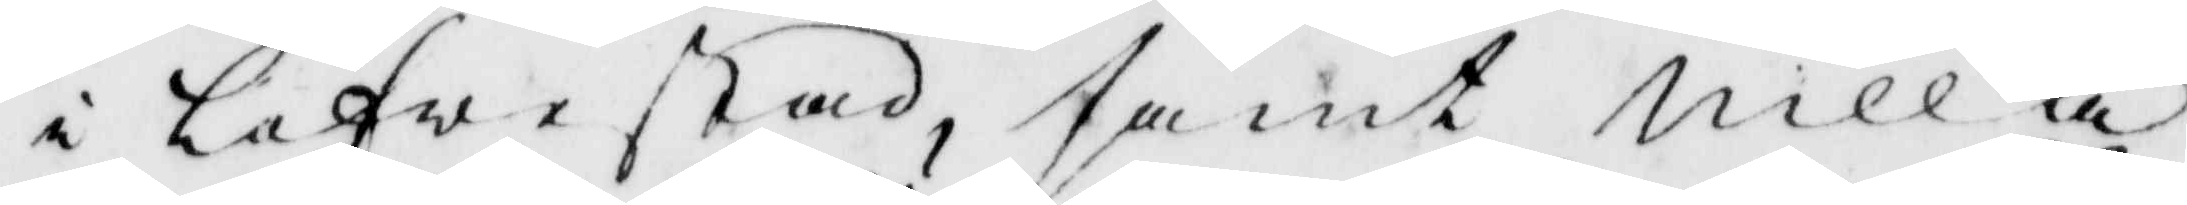i Löfwestad, samt Nilla
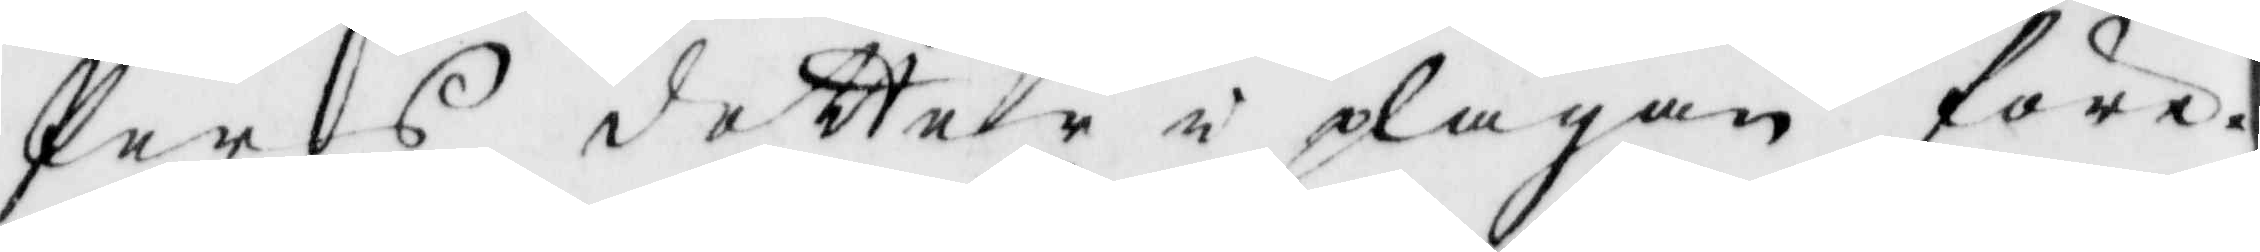Pers dotter i plågan före¬
